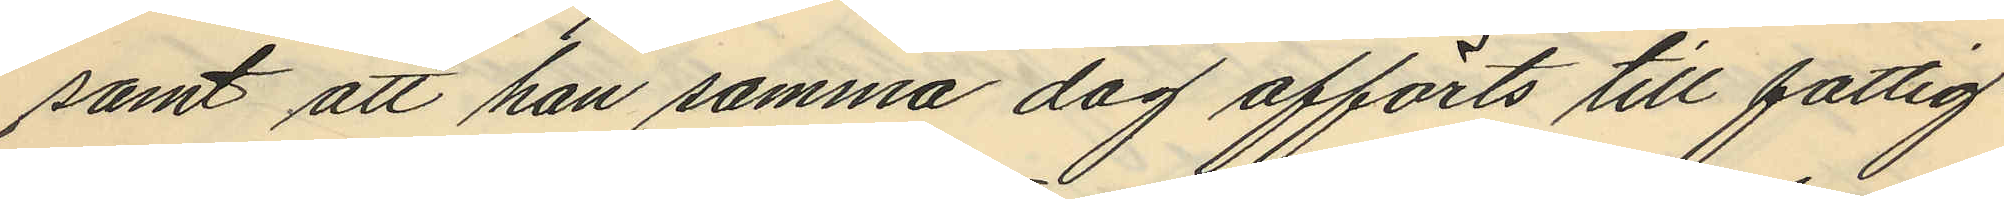samt att han samma dag afförts till fattig¬
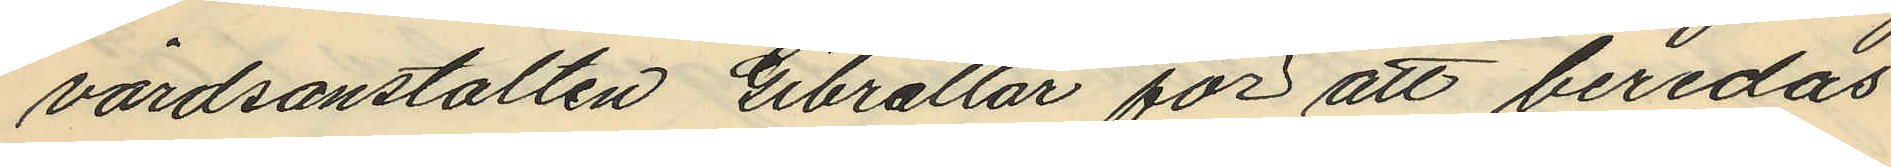vårdsanstalten Gibraltar för att beredas
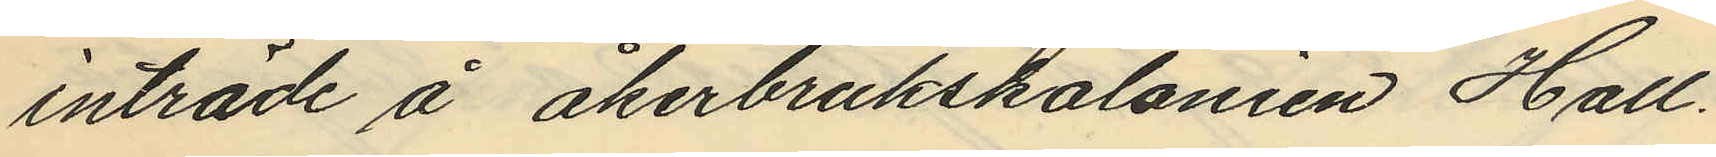inträde å åkerbrukskolonien Hall.
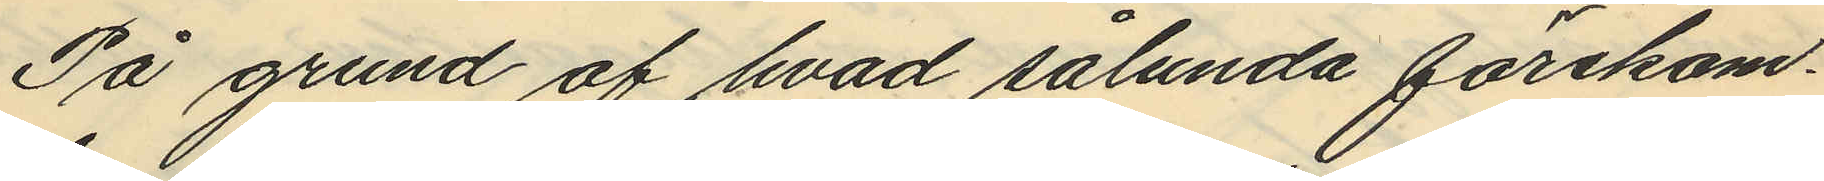På grund af hvad sålunda förekom¬
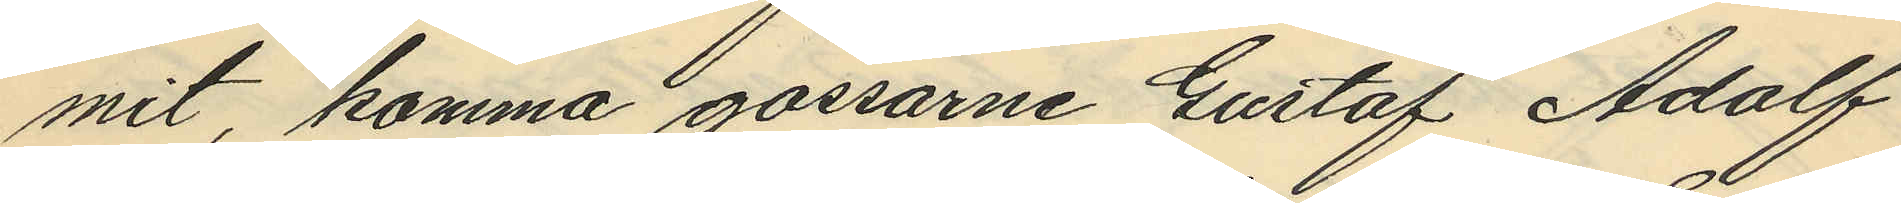mit, komma gossarne Gustaf Adolf
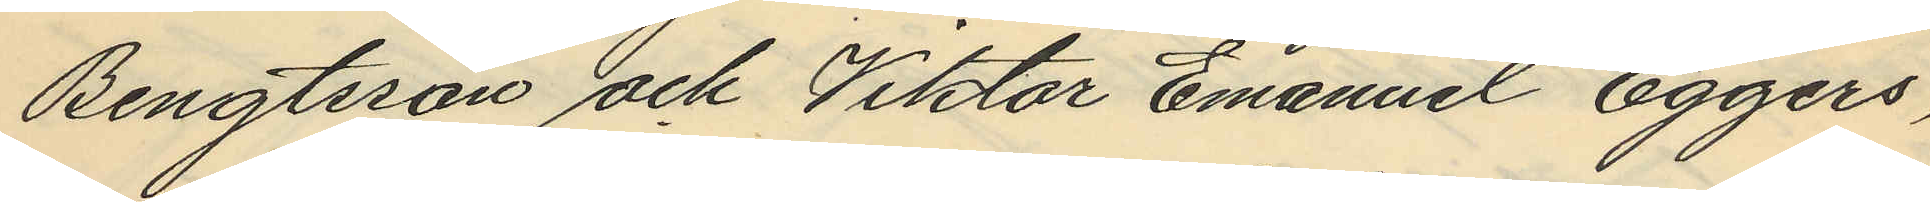Bengtsson och Viktor Emanuel Eggers,
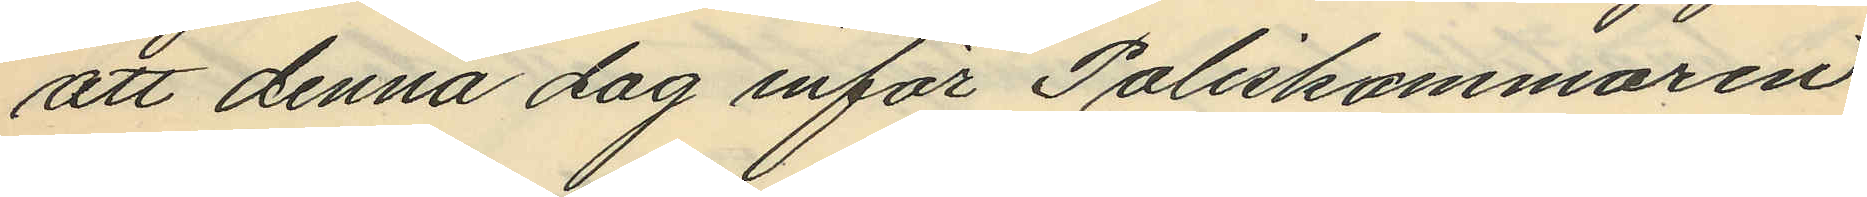att denna dag inför Poliskammaren
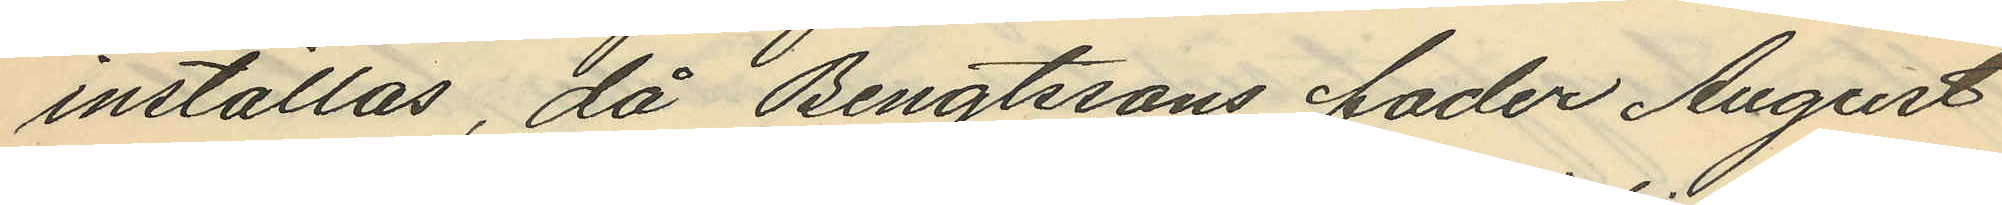inställas, då Bengtssons fader August
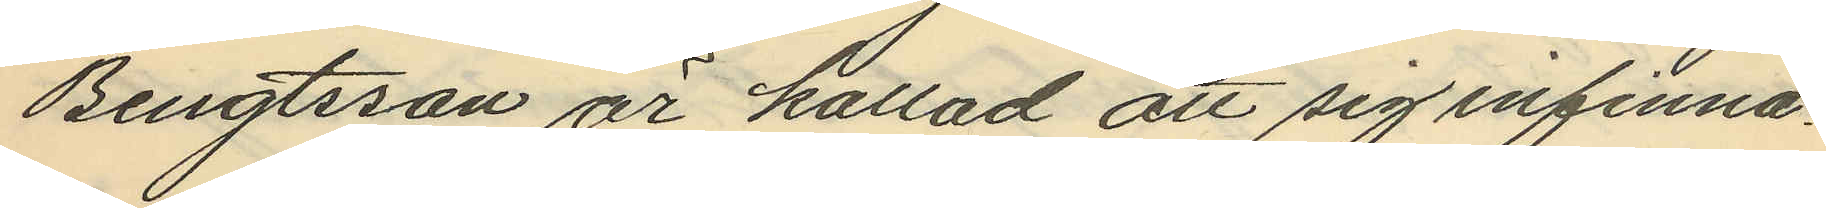Bengtsson är kallad att sig infinna.
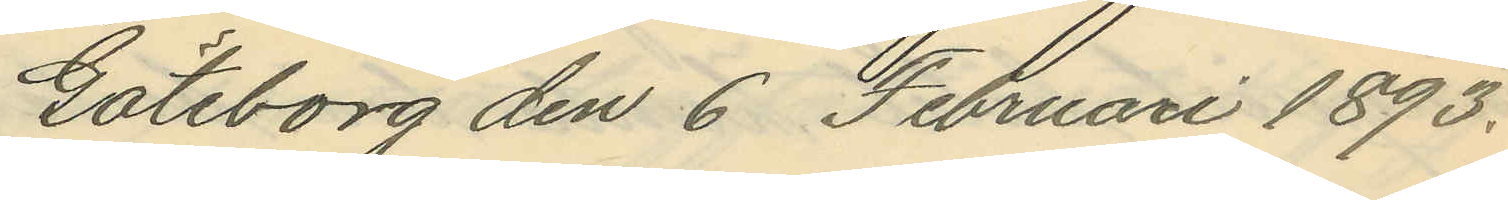Göteborg den 6 Februari 1893.
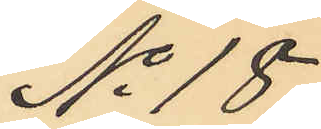No 18.
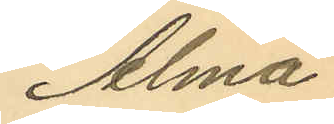Alma
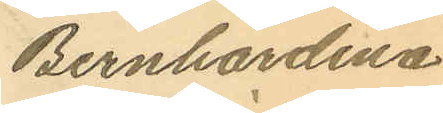Bernhardina
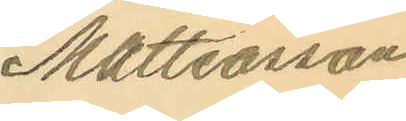Mattiasson
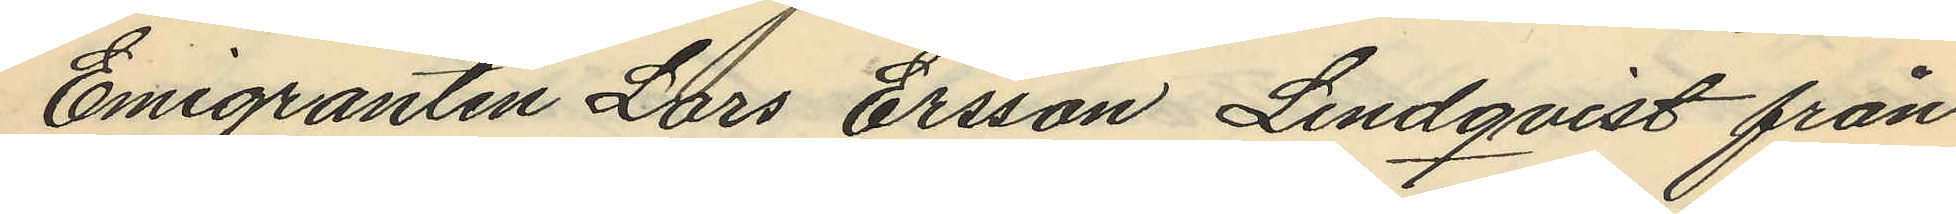Emigranten Lars Ersson Lindqvist från
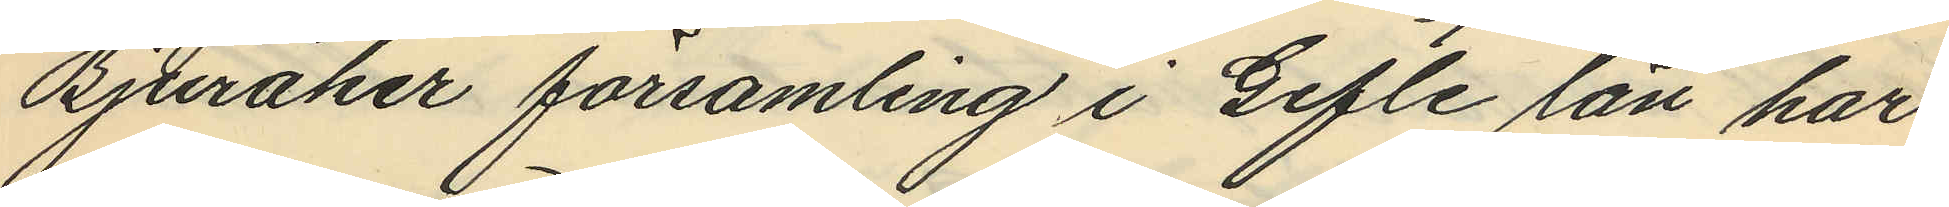Bjuråker församling i Gefle län har
